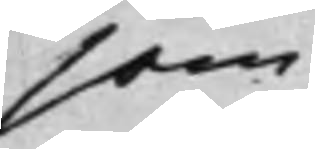som
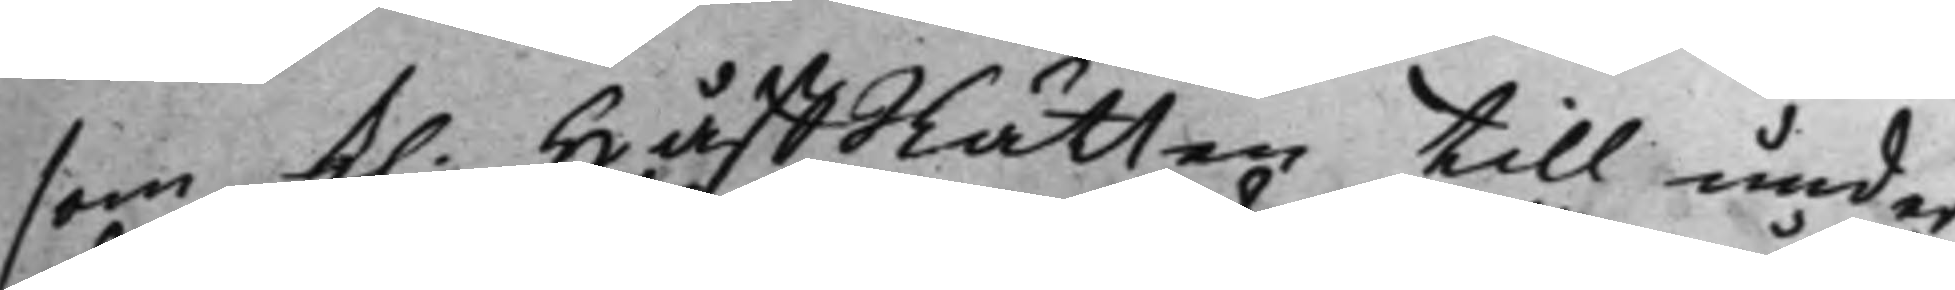som K. HåffRätten till under¬
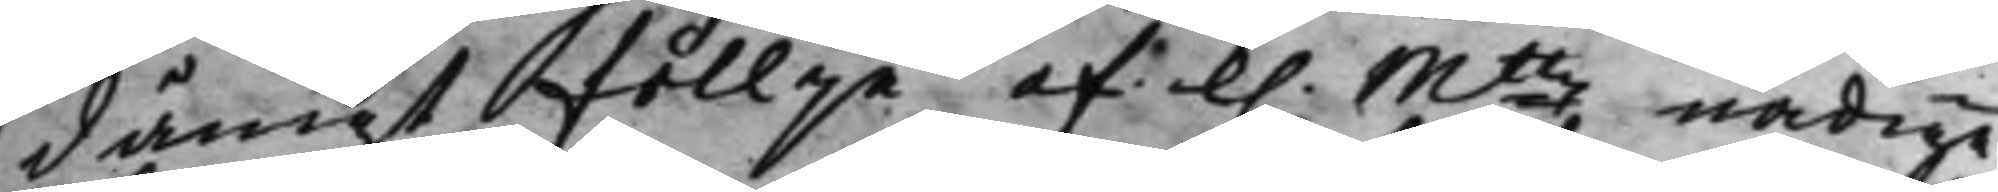dånigt föllje af K. Mttz nådige
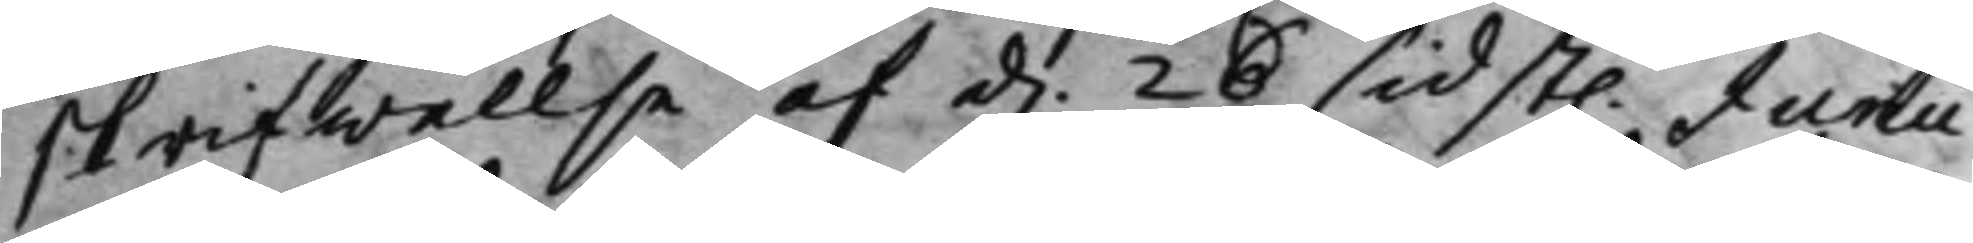skrifwellse af d. 26 sidst. Junii
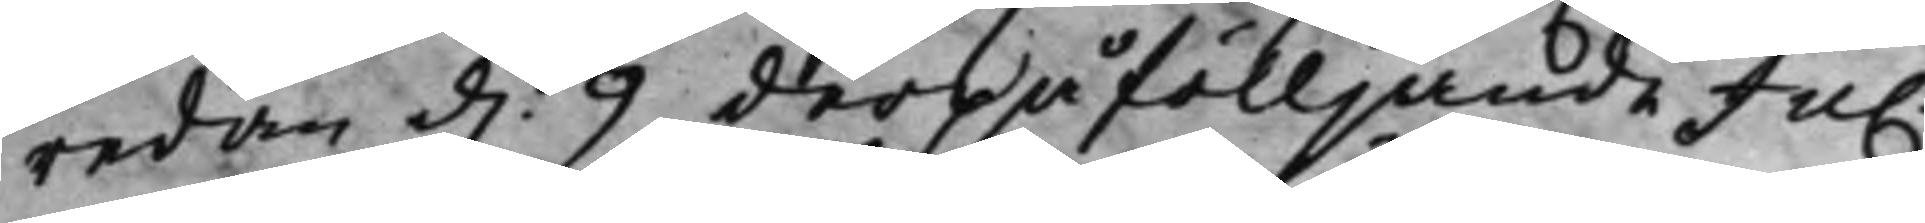redan d. 9 derpåfölljande Jul.
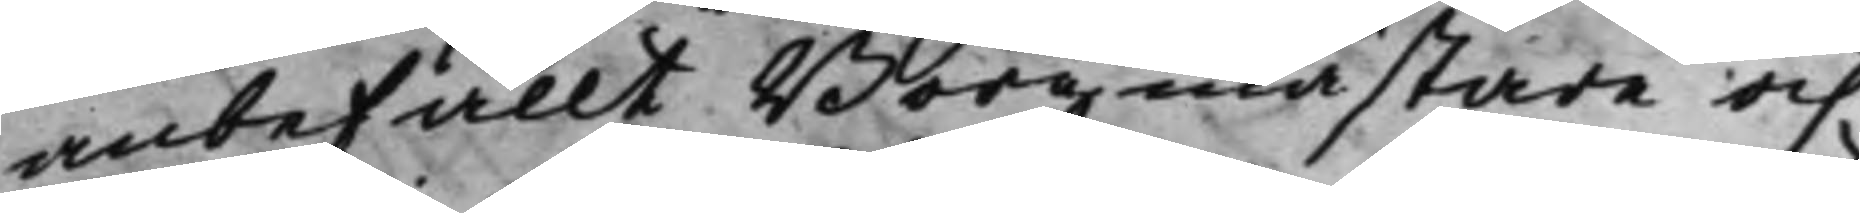anbefallt Borgmästare och
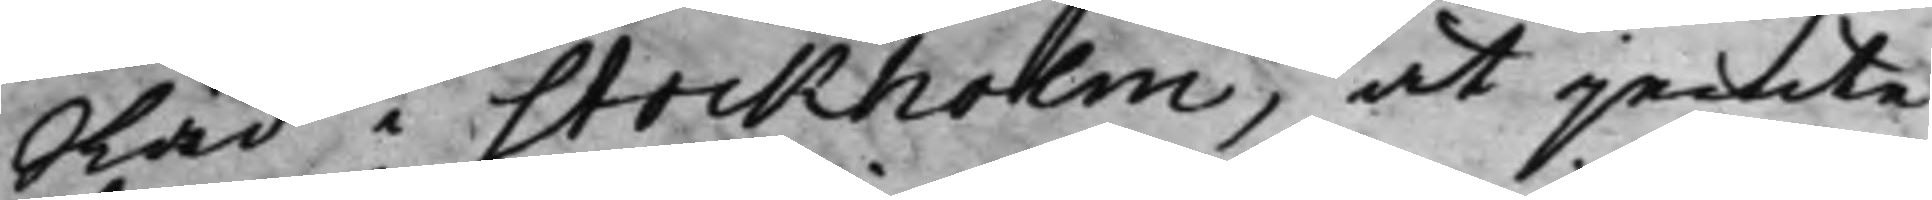Råd i Stockholm, at jemte
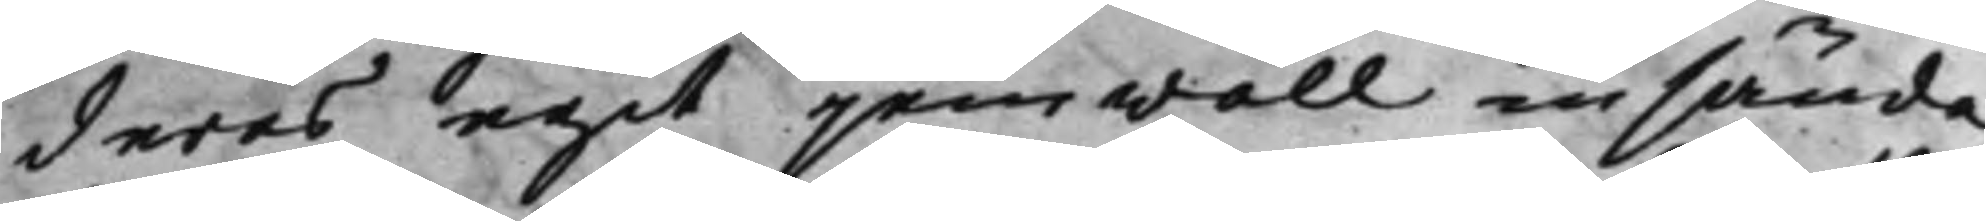deras egit jemwäll insända
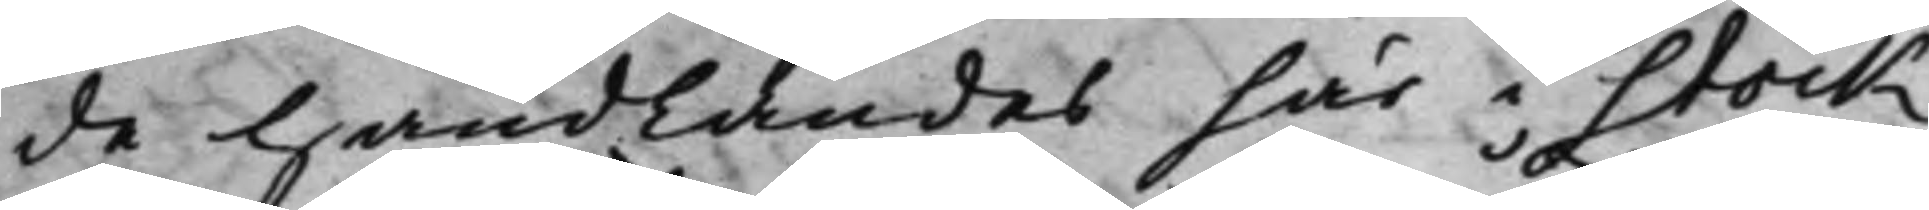de handlandes här i Stock¬
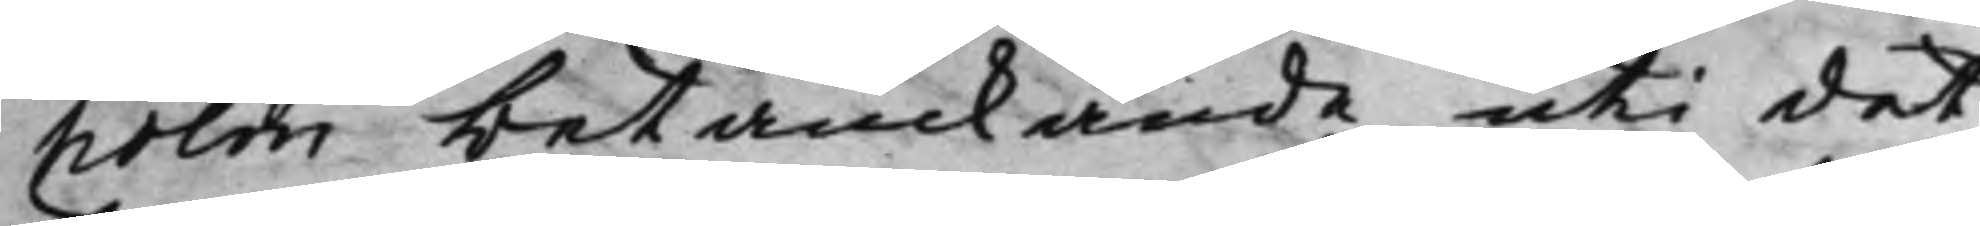holm betänckande, uti det¬
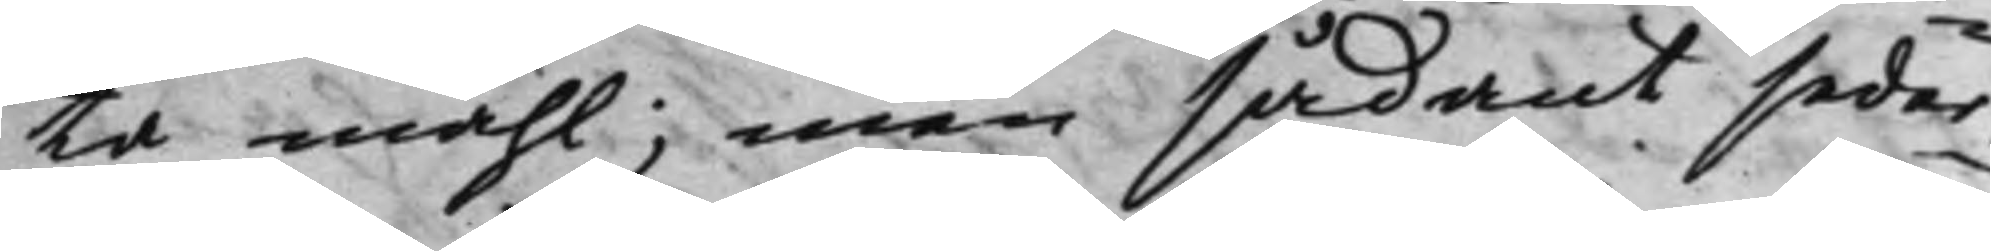ta måhl; men sådant seder¬
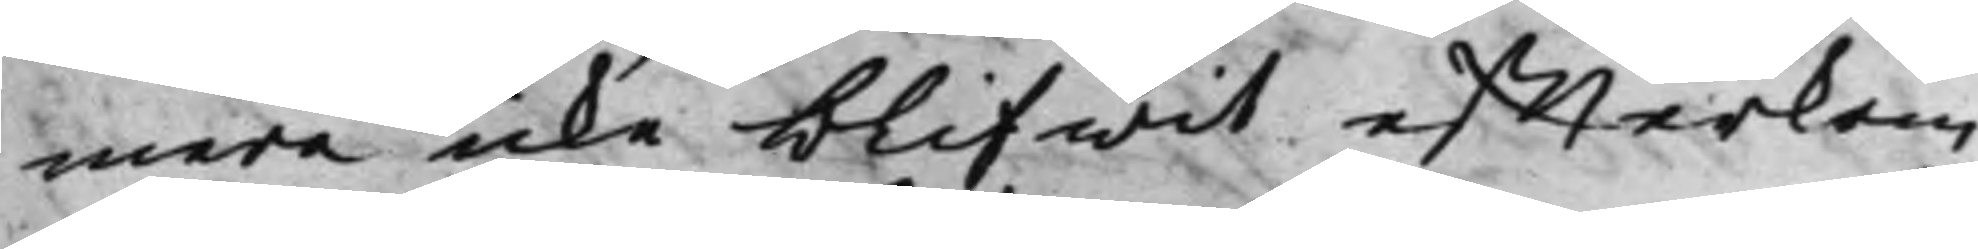mera icke blifwit effterkom¬
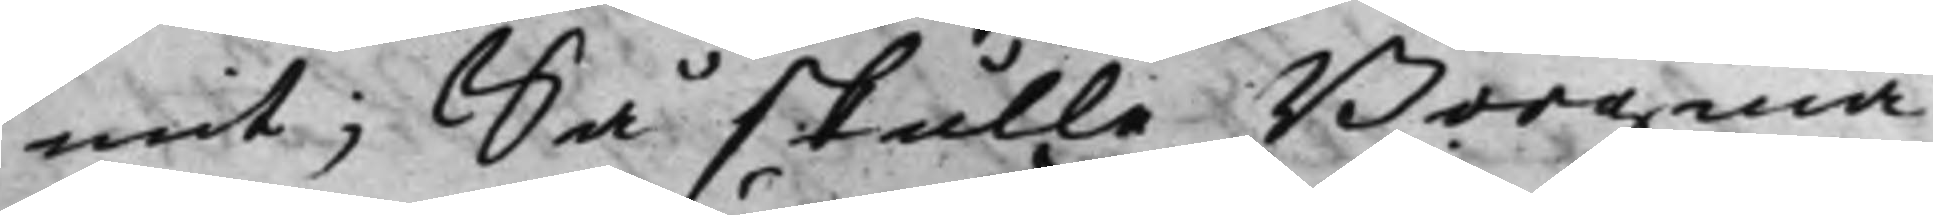mit; Så skulle Borgmä¬
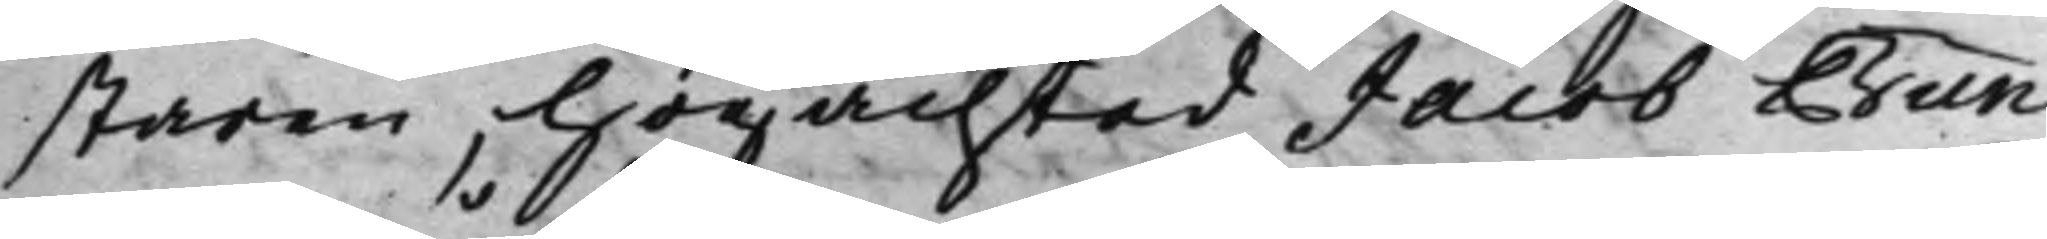staren, högachtad Jacob Bun¬
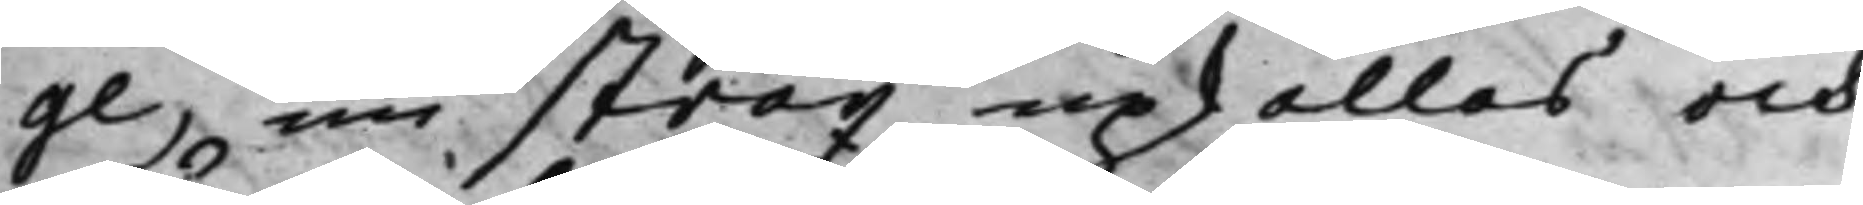ge, nu strax upkallas och
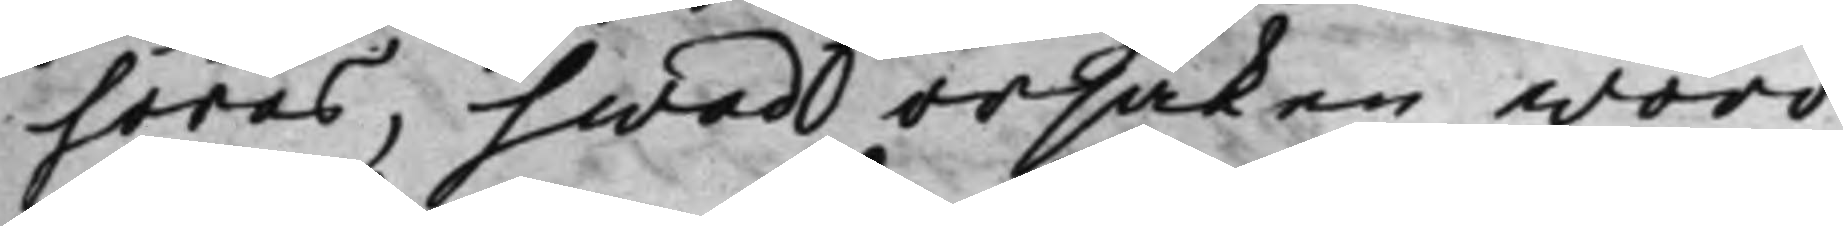höras, hwad orsaken woro,
